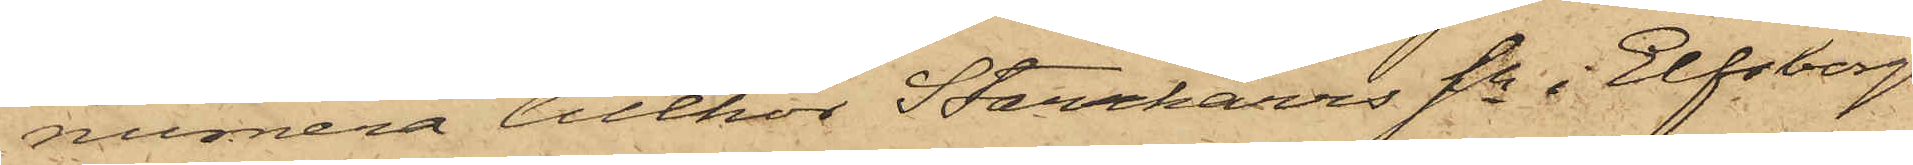numera tillhör Starrkärrs Sn i Elfsborgs
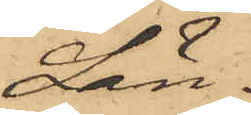Län.
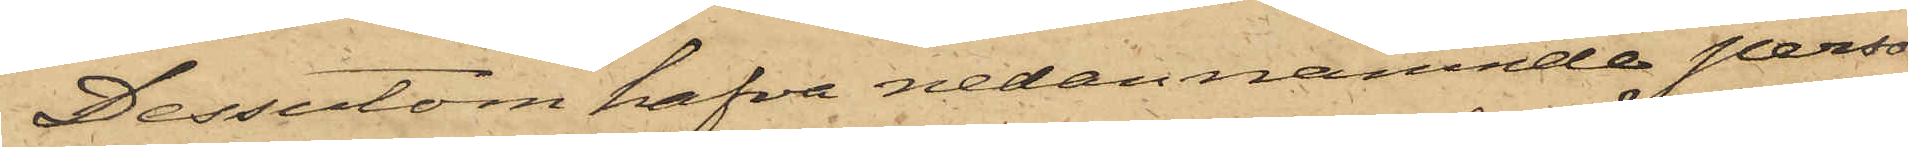Dessutom hafva nedannämnde perso¬
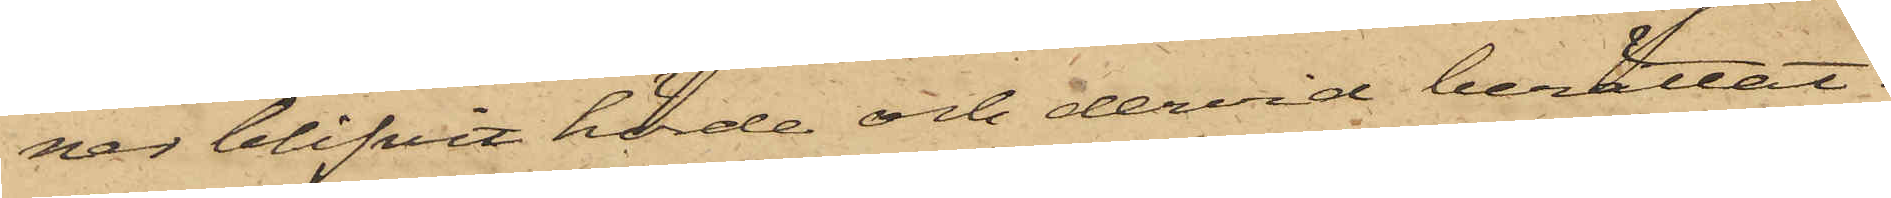nar blifvit hörde och dervid berättat:
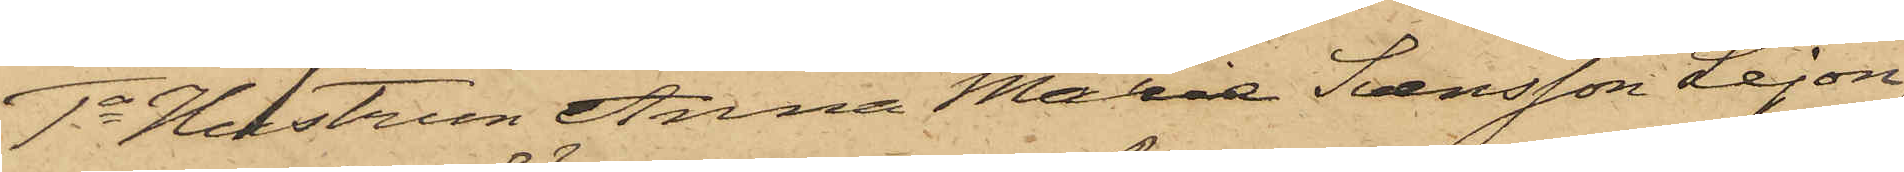1o Hustrun Anna Maria Svensson Lejon
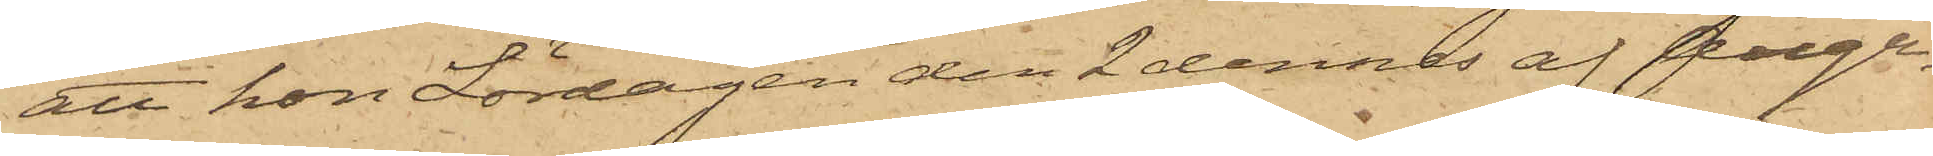att hon Lördagen den 2 dennes af Augu¬
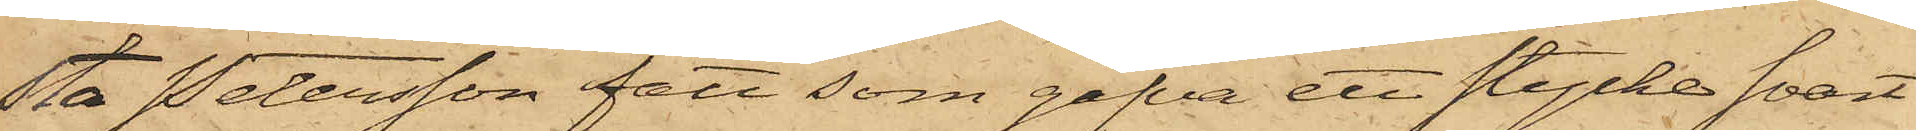sta Petersson fått som gåfva ett stycke svart
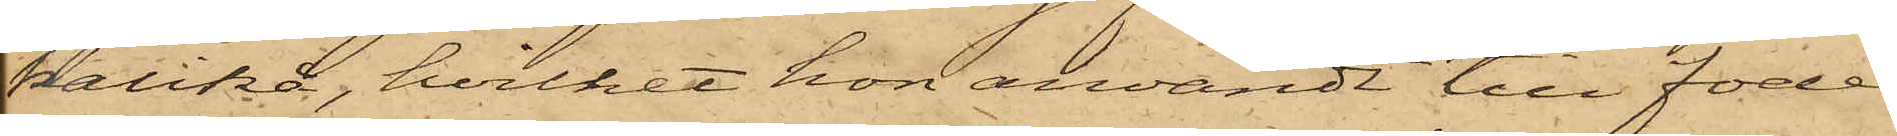kalikå, hvilket hon användt till foder
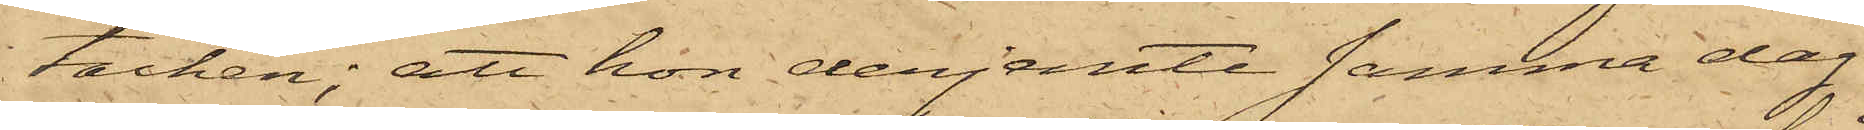i täcken; att hon derjemte samma dag
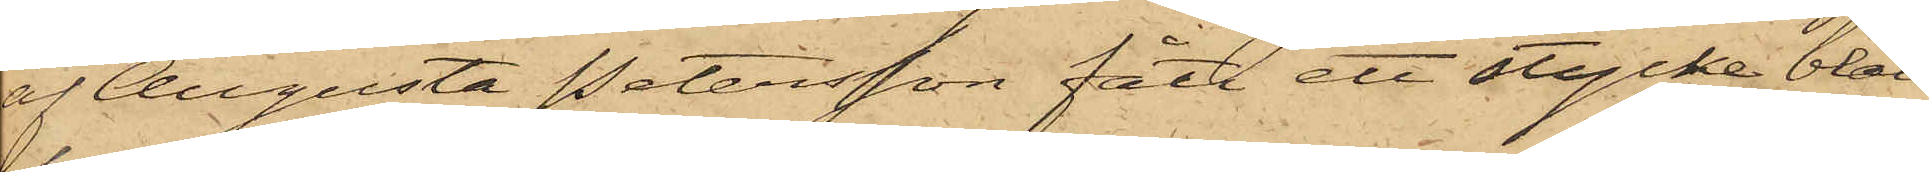af Augusta Petersson fått ett stycke blått
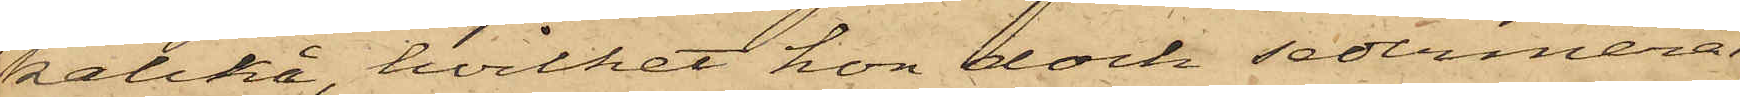kalikå, hvilket hon dock sedermera
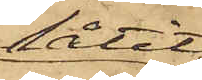låtit
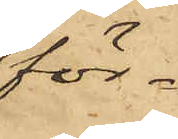för¬
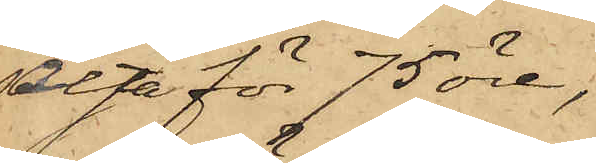sälja för 75 öre,
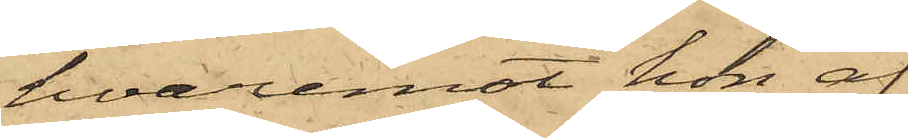hvaremot hon af
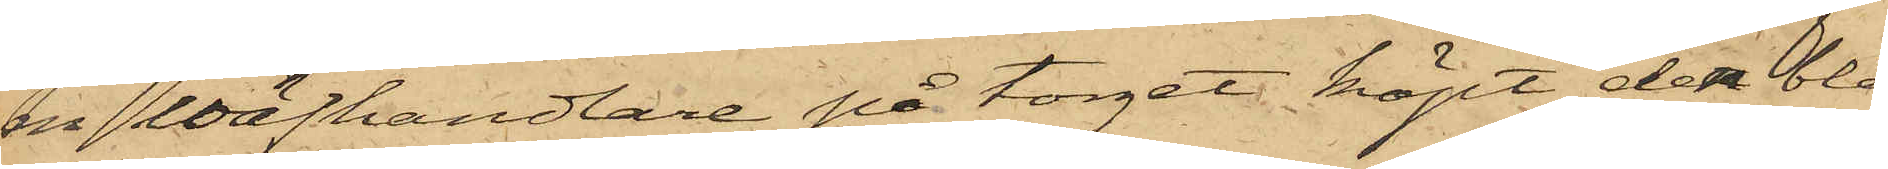en Wäfhandlare på torget köpt den blå
